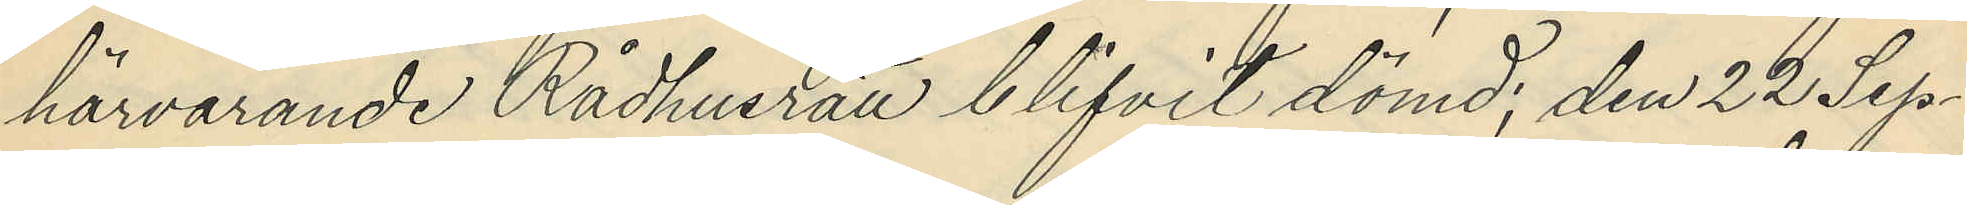härvarande Rådhusrät blifvit dömd, den 22 Sep¬
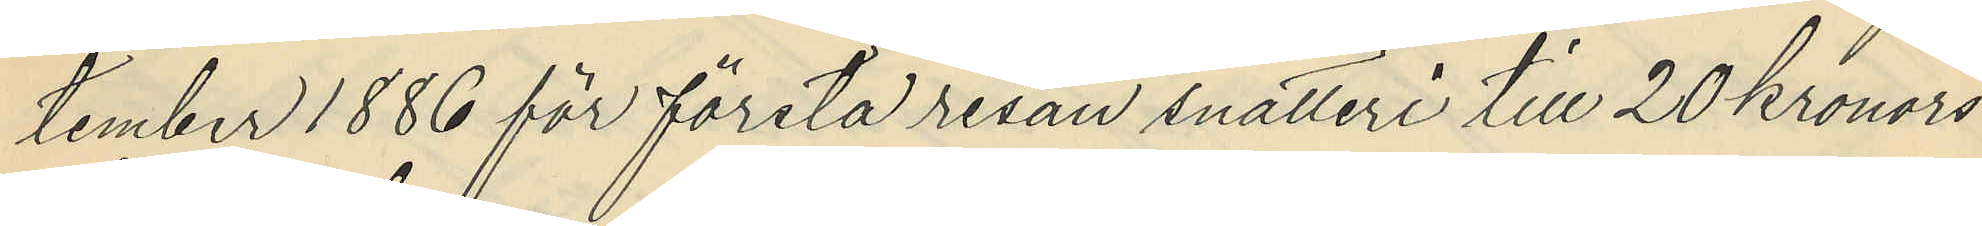tember 1886 för första resan snatteri till 20 Kronors
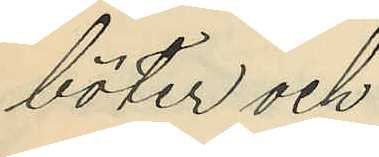böter och
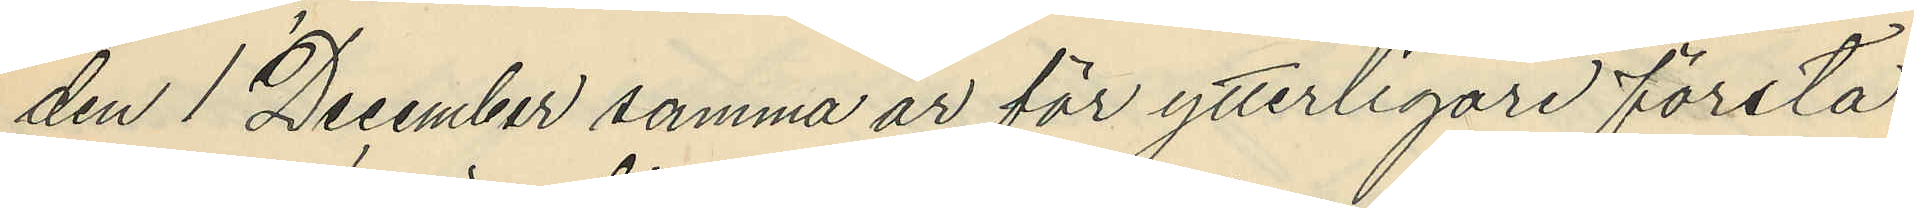den 1 December samma år för ytterligare första
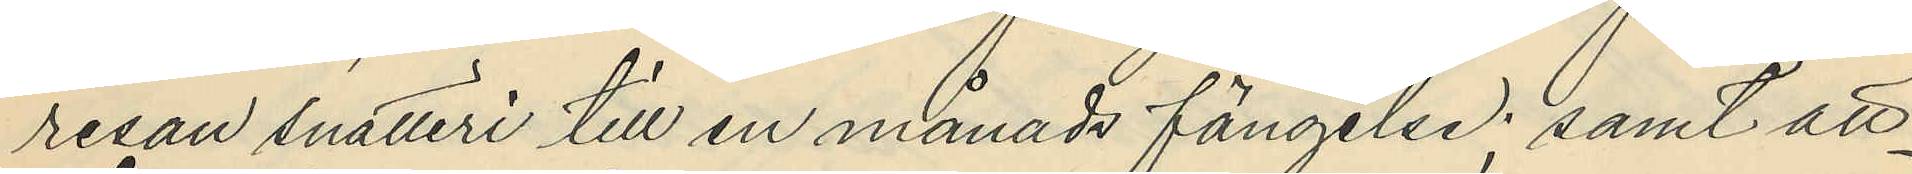resan snatteri till en månads fängelse; samt att
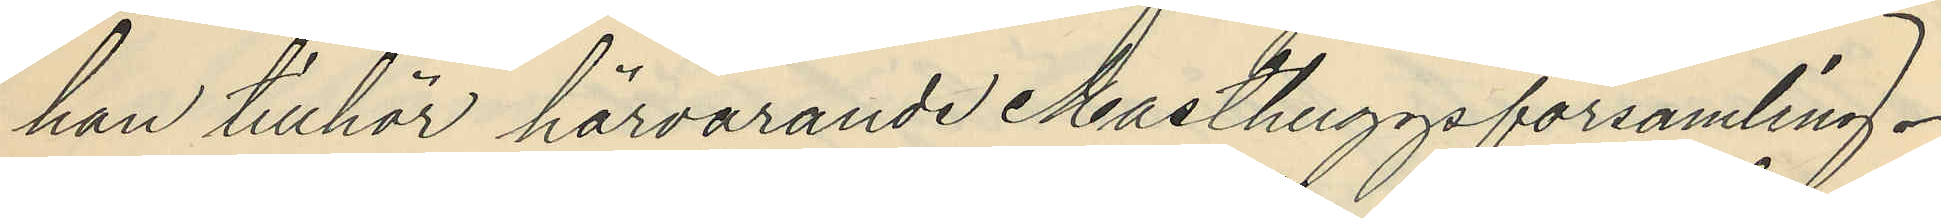han tillhör härvarande Masthuggsförsamling.
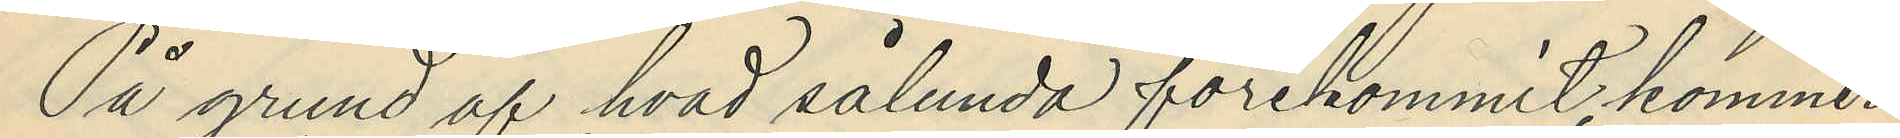På grund af hvad sålunda förekommit, kommer
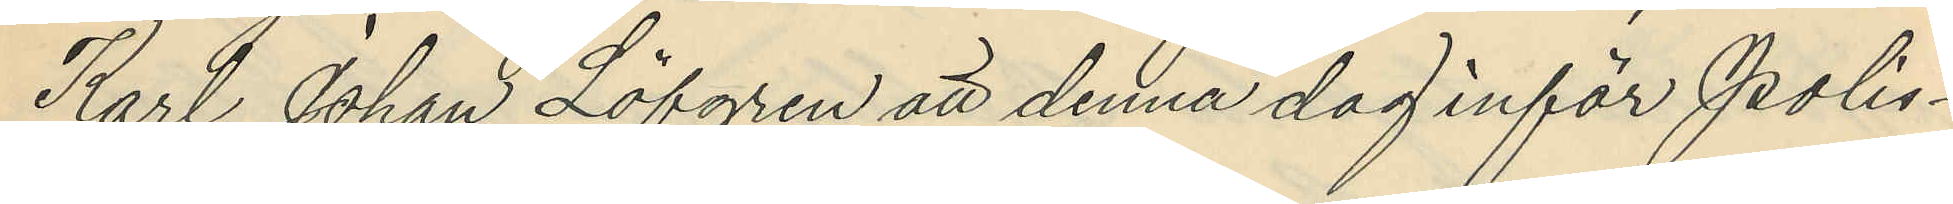Karl Johan Löfgren att denna dag inför Polis¬
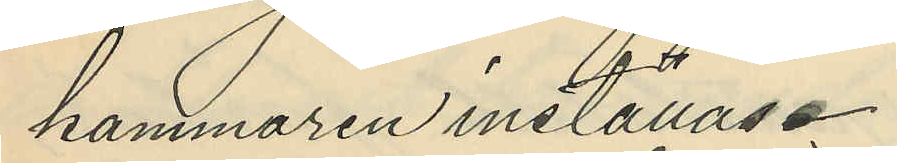kammaren inställas.
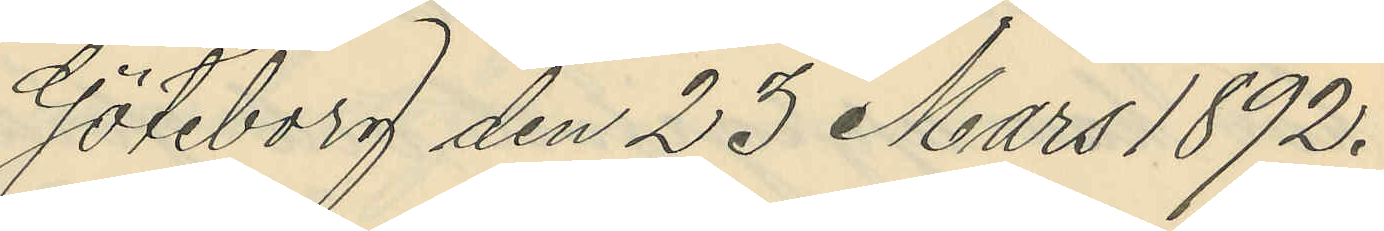Göteborg den 23 Mars 1892.
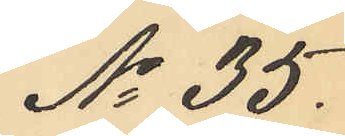No 35.
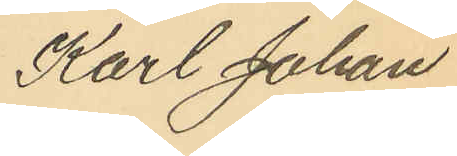Karl Johan
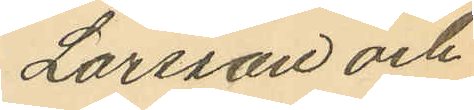Larsson och
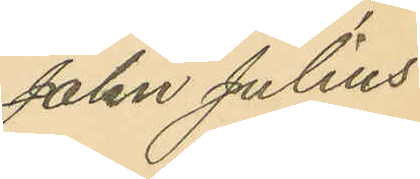John Julius
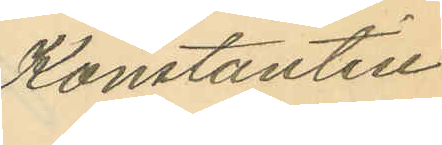Konstantin
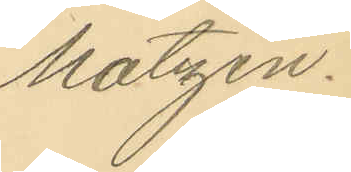Matzén.
